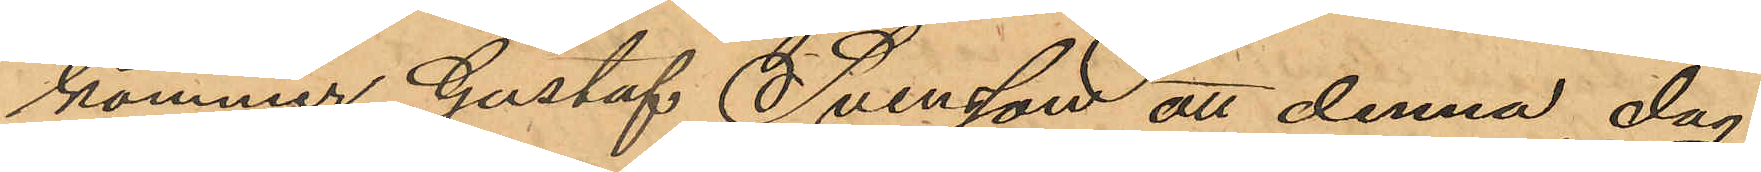kommer Gustaf Svensson att denna dag
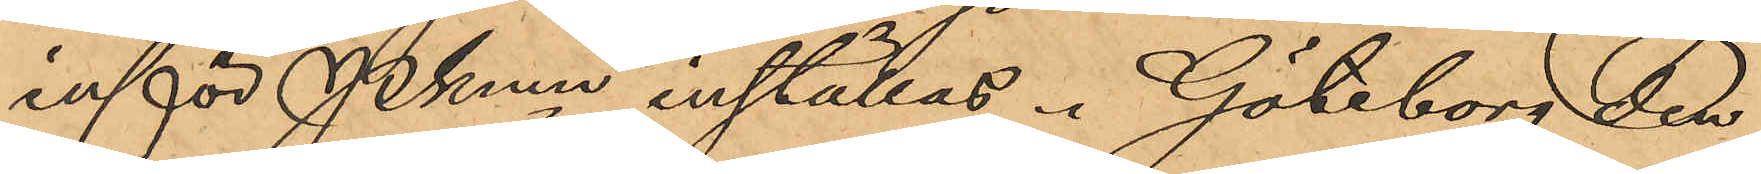inför Pkmn inställas. Göteborg och
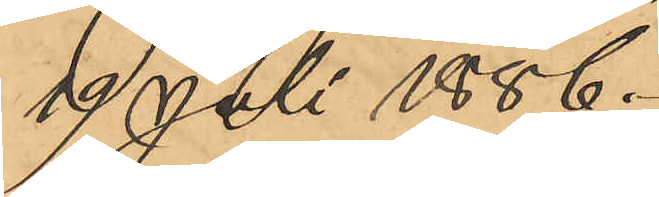19 Juli 1886.
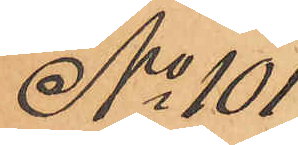No 101
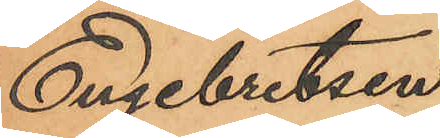Engebretsen
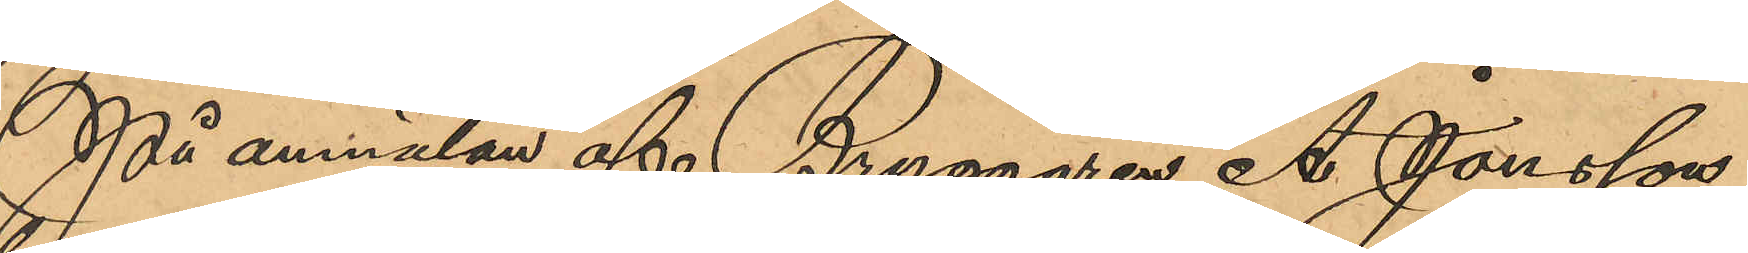På anmälan af Bryggaren A. Jönsson
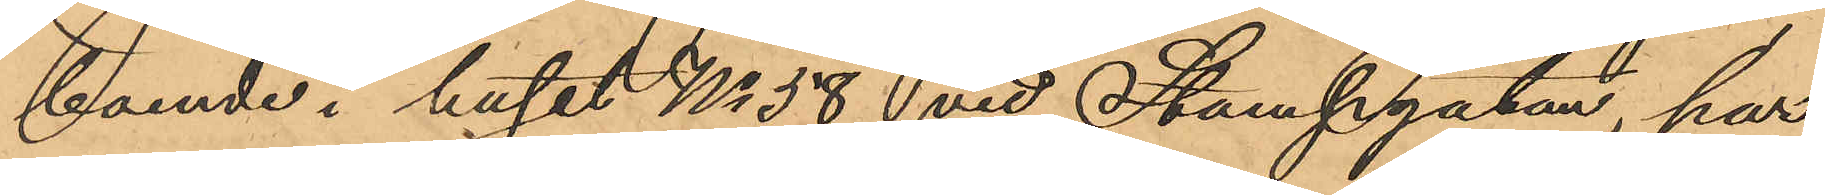boende i huset No 58 vid Stampgatan, har
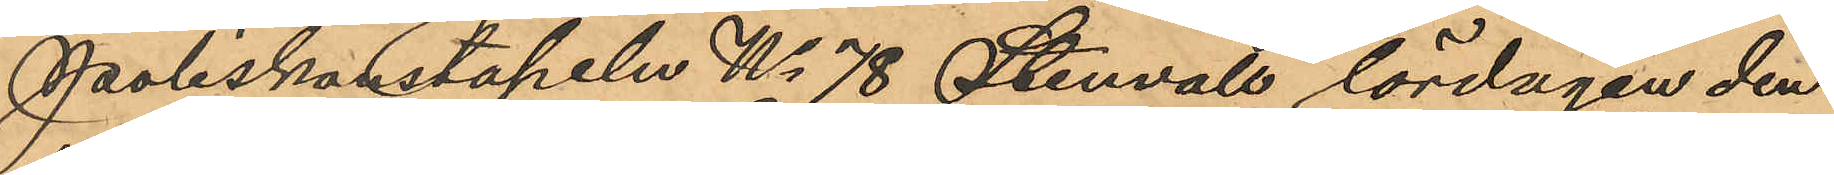Poliskonstapeln No 78 Stenvall lördagen den
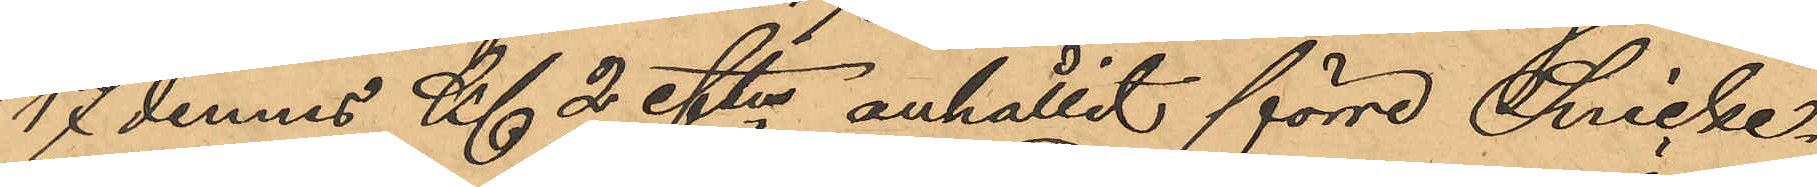17 dennes Kl 2 eftm anhållit förre Snicke¬
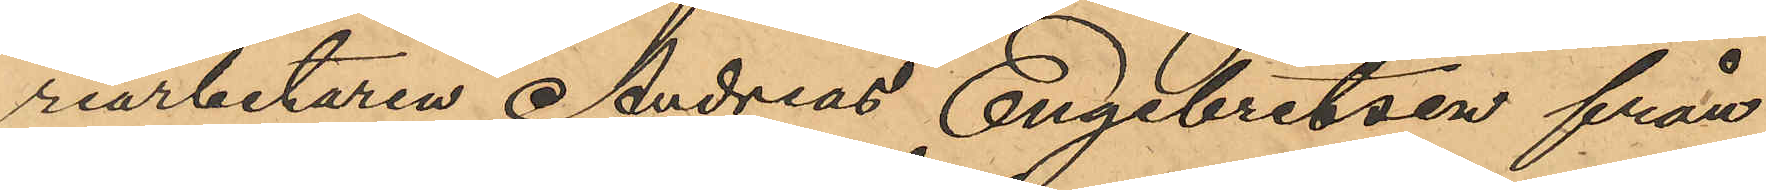riarbetaren Andreas Engebretsen från
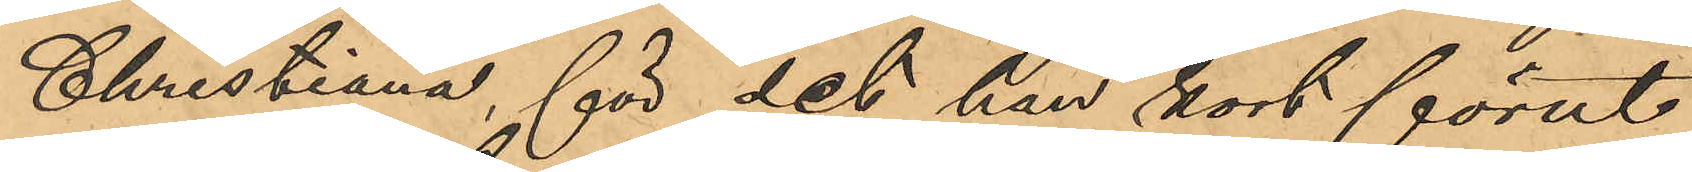Christiana, för det han kort förut
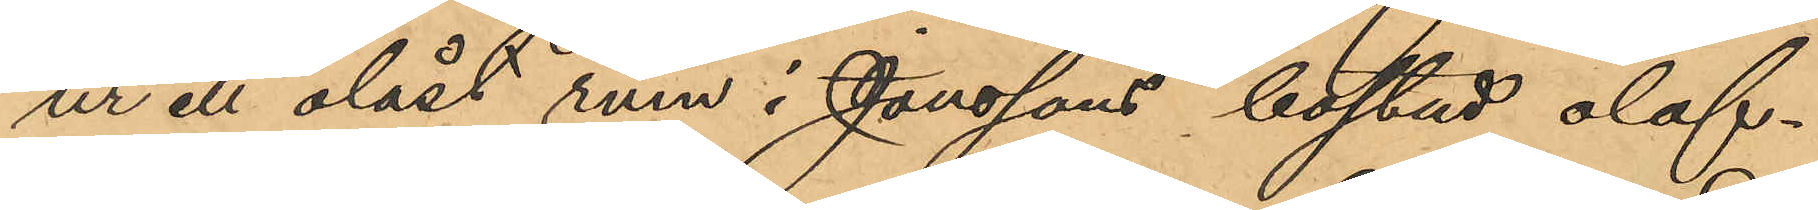ur ett olåst rum i Jönssons bostad olof¬
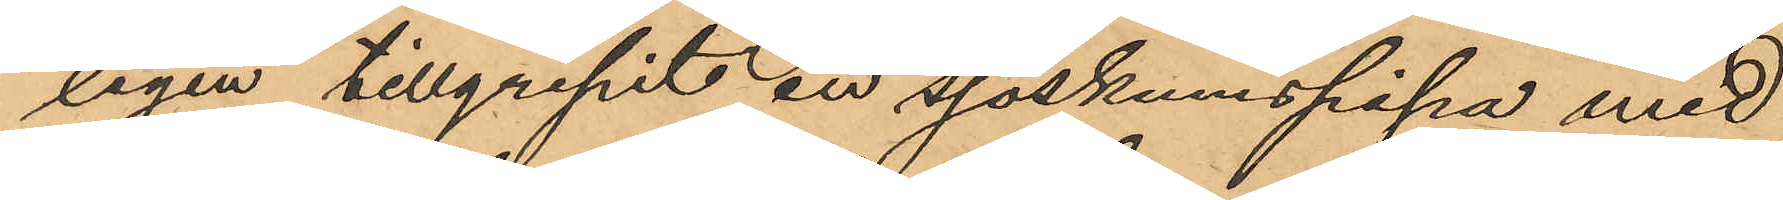ligen tillgripit en sjöskumspipa med
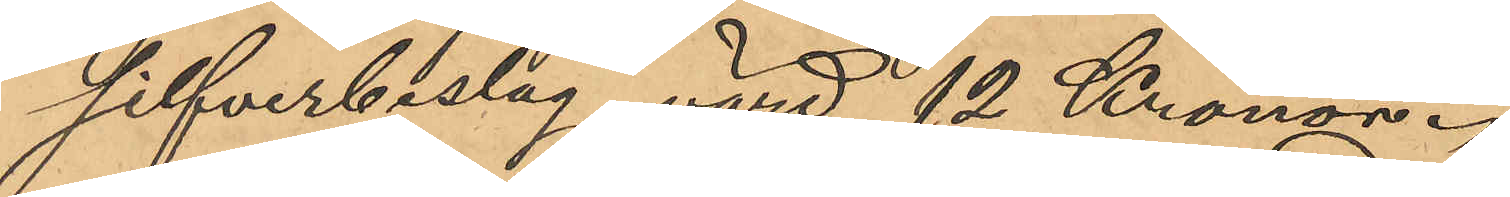silfverbeslag, värd 12 Kronor.
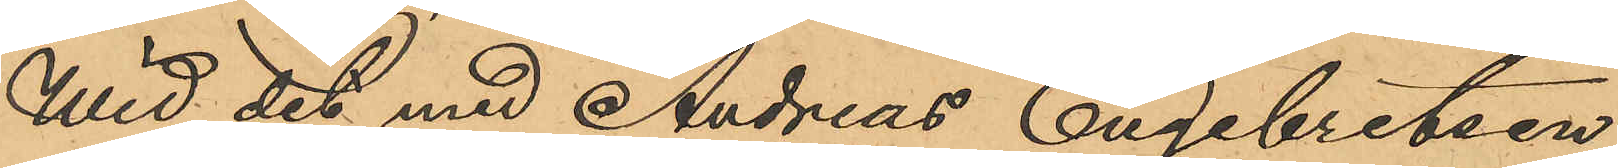Wid det med Andreas Engebretsen
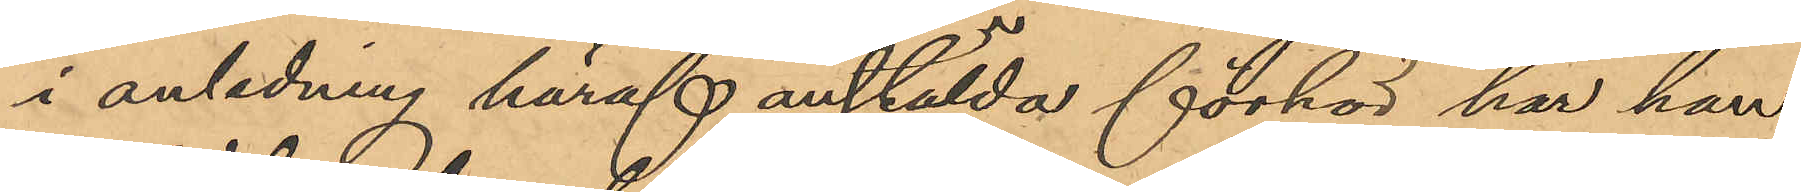i anledning häraf anstälda förhör har han
